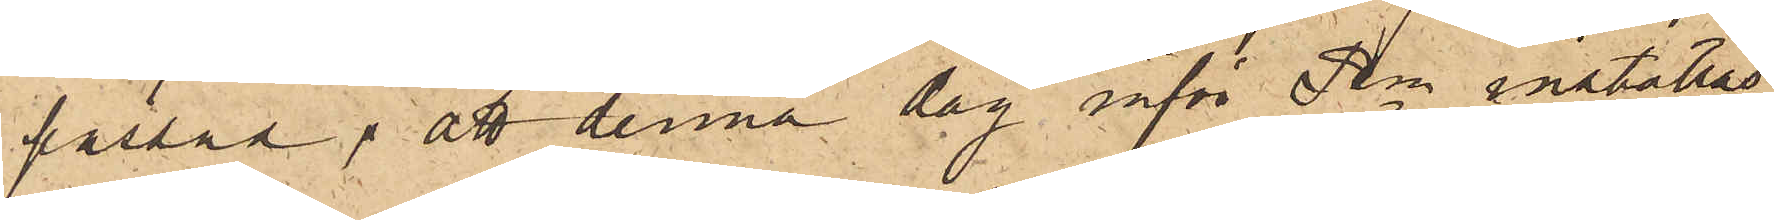passad, att denna dag inför Pkn inställas.
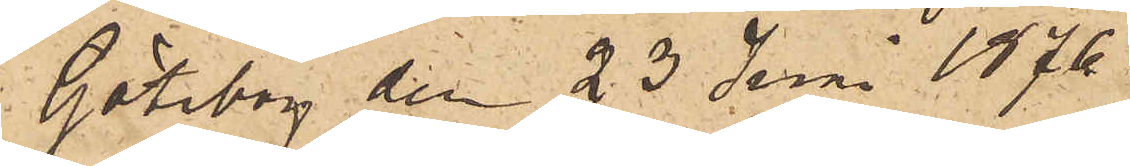Göteborg den 23 Juni 1876.
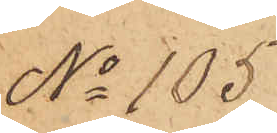No 105
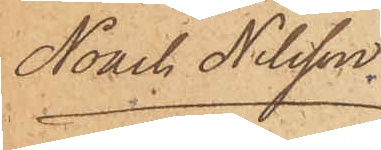Noack Nilsson.
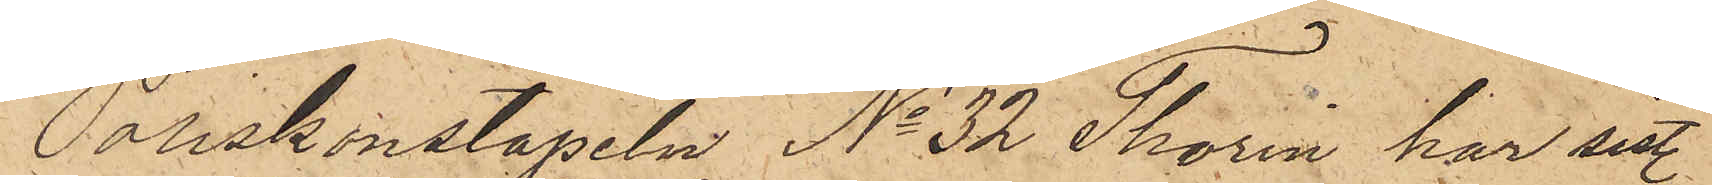Poliskonstapeln No 32 Thorin har sist.
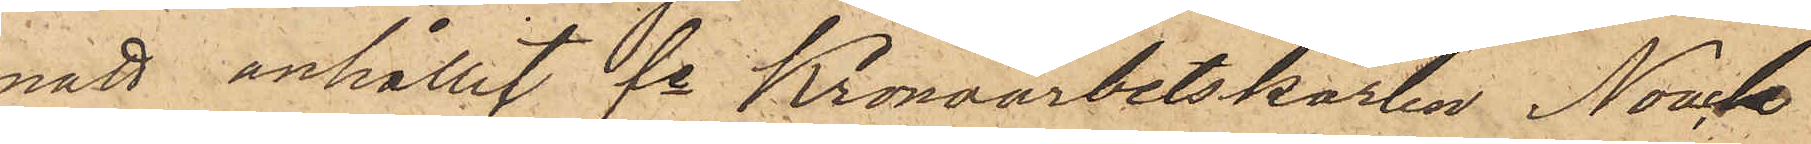natt anhållit fe Kronoarbetskarlen Noack
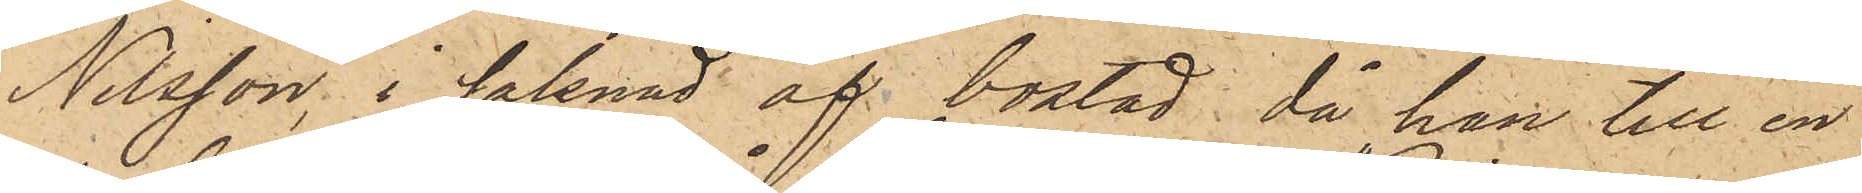Nilsson, i saknad af bostad, då han till en
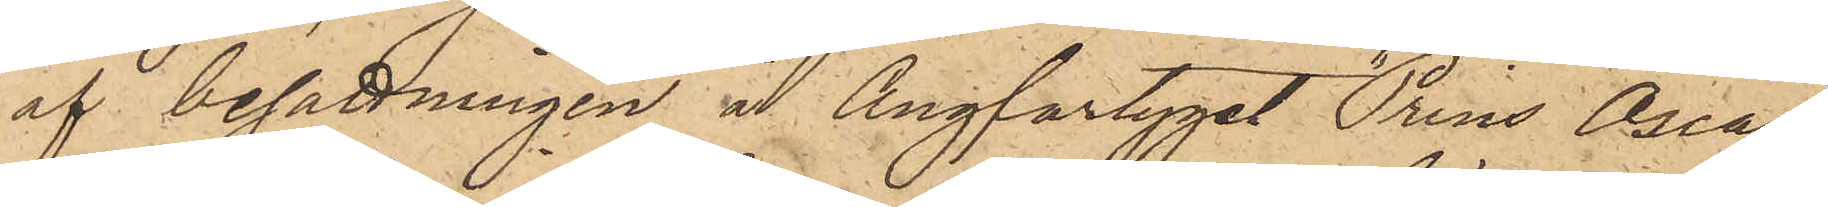af besättningen å Ångfartyget "Prins Oscar",
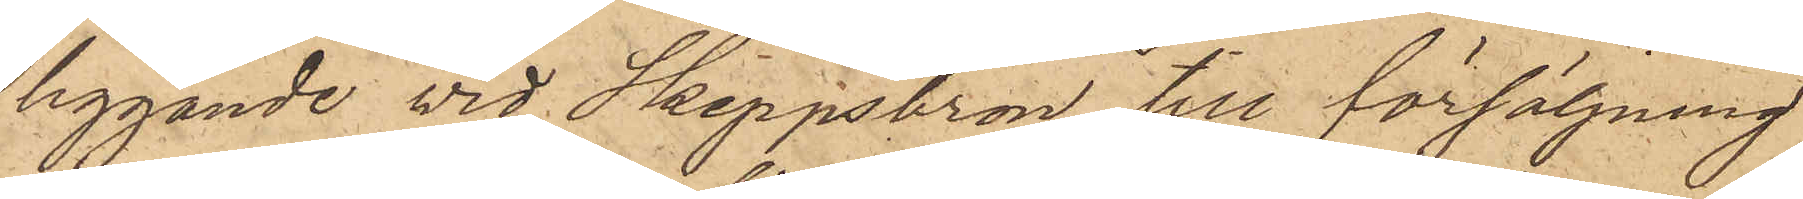liggande vid Skeppsbron till försäljning
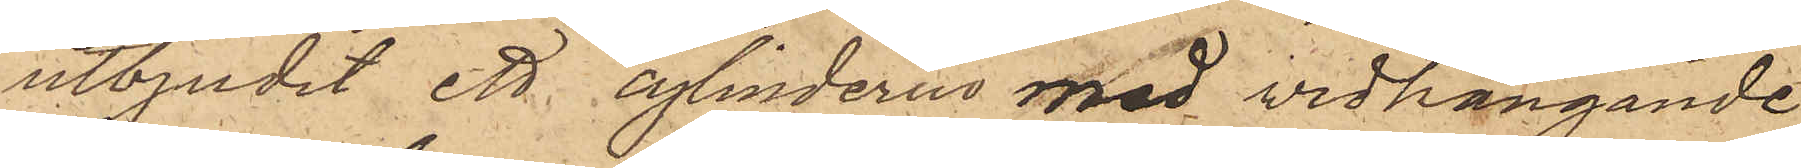utbjudit ett cylinderur med vidhängande
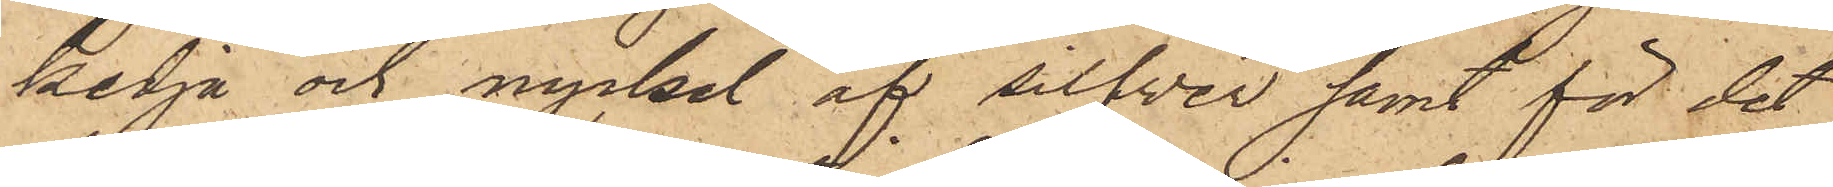kedja och nyckel af silfver samt för det
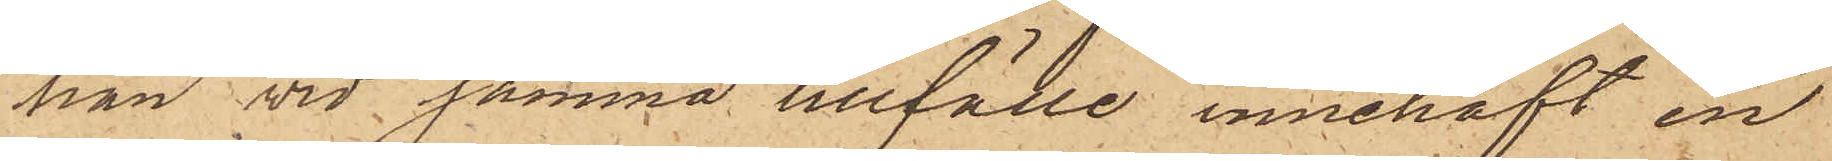han vid samma tillfälle innehaft en
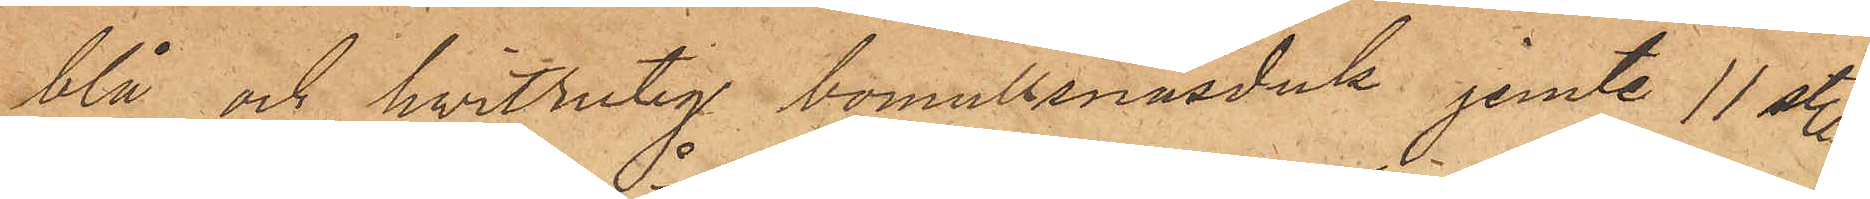blå och hvitrutig bomullsnäsduk jemte 11 sty.
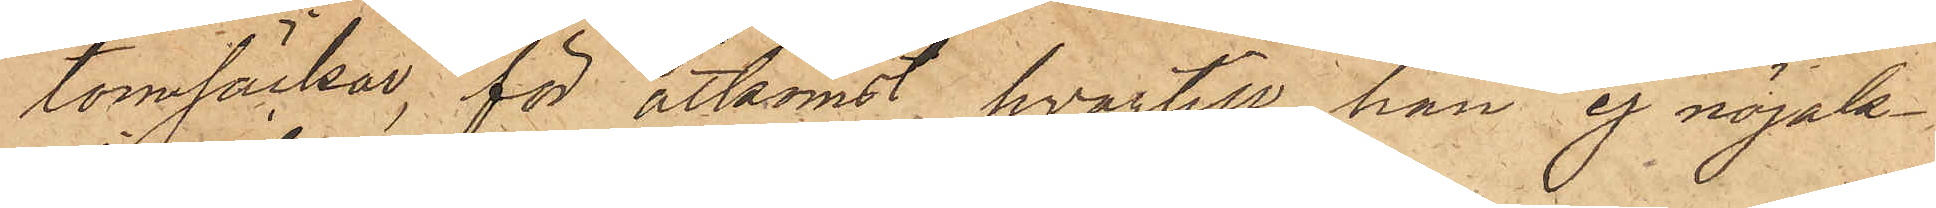tomsäckar, för åtkomst hvartill han ej nöjak¬
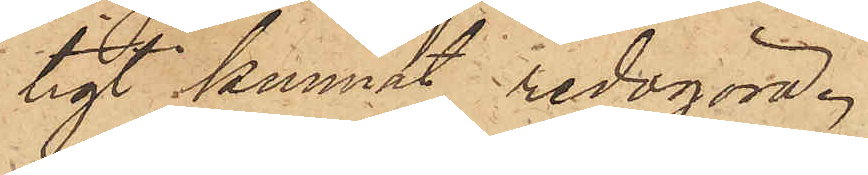tigt kunnat redogöra.
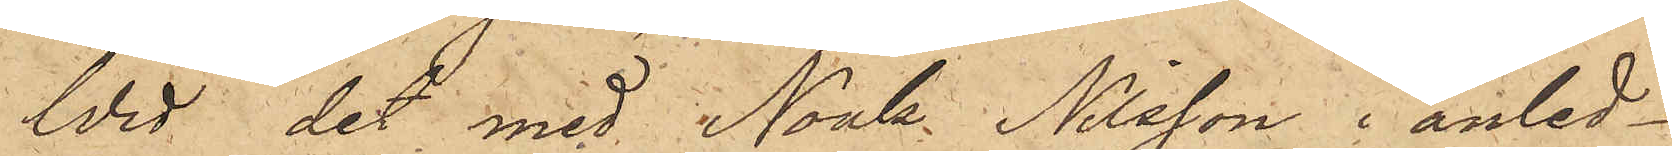Wid det med Noak Nilsson i anled¬
